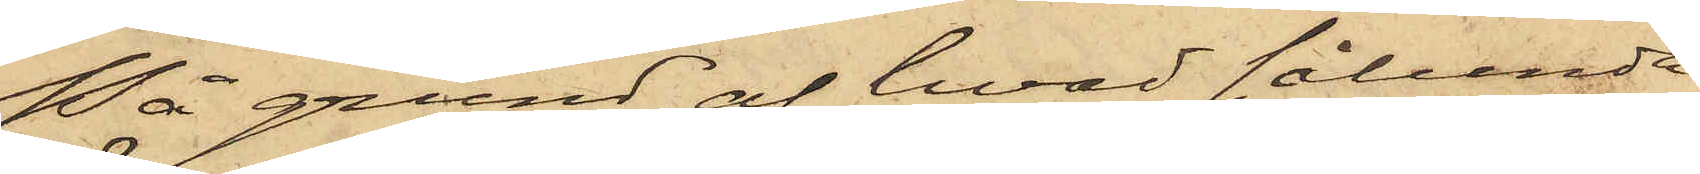På grund af hvad sålunda
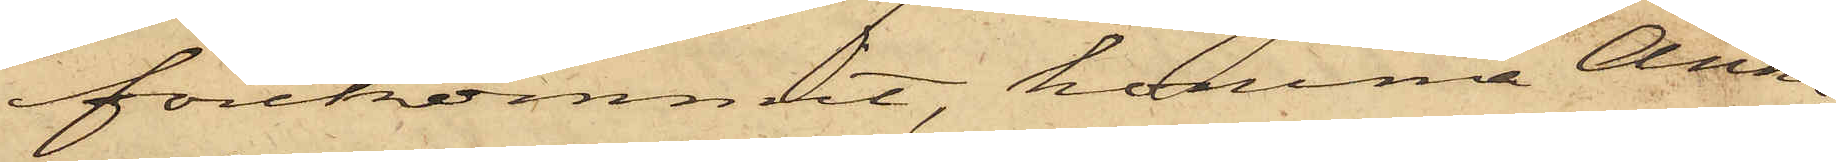förekommit, komma Anna
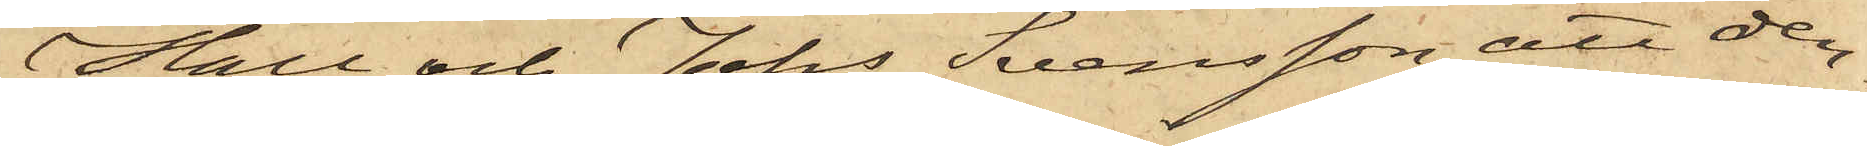Hall och Johs Svensson att den¬
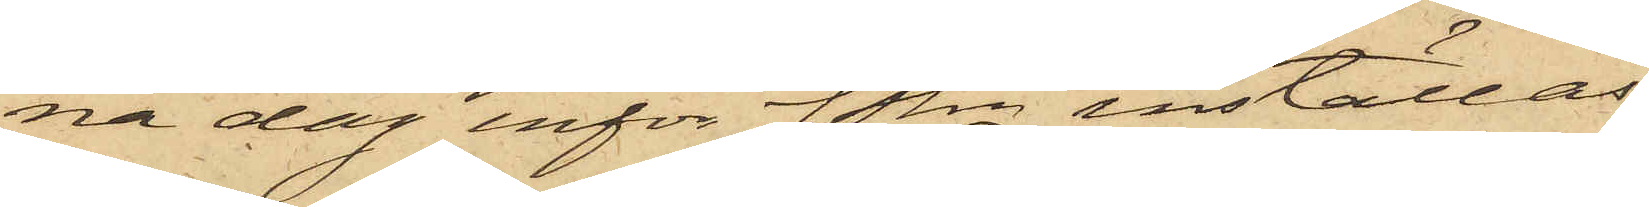na dag inför Pkn inställas.
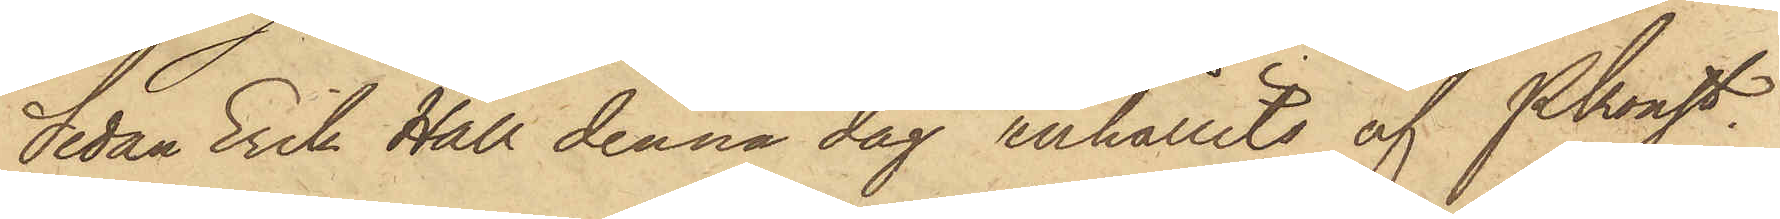Sedan Erik Hall denna dag anhållits af Pkonst.
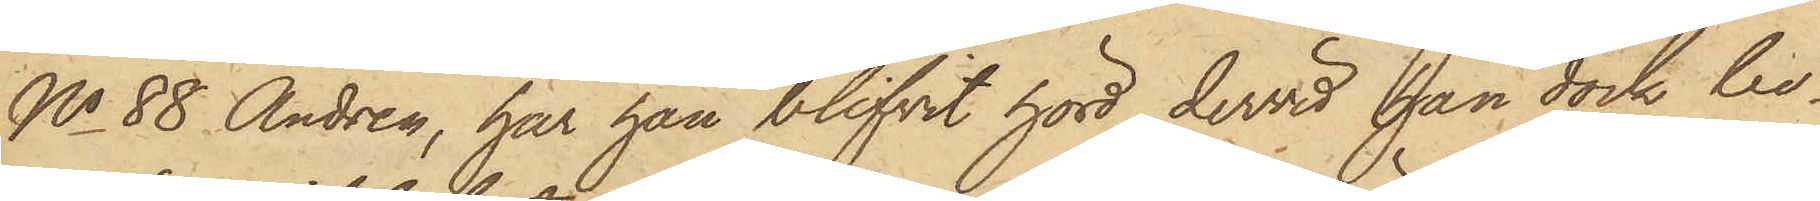No 88 Andrén, har han blifvit hörd, dervid han dock be¬
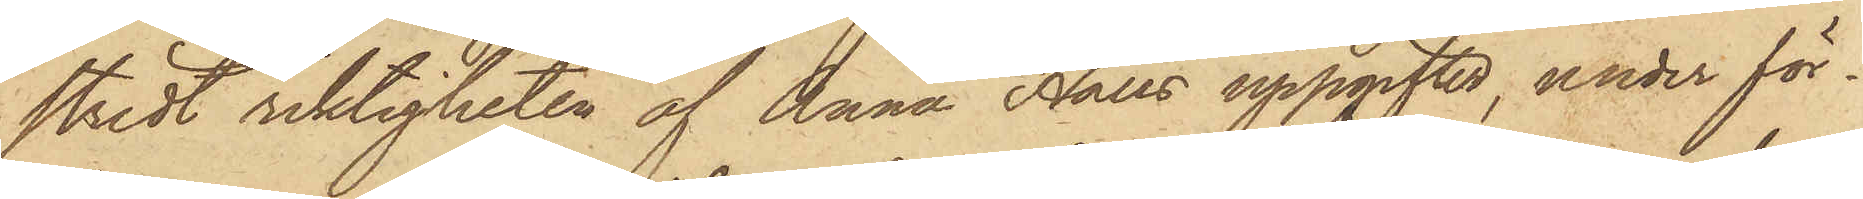stridt riktigheten af Anna Halls uppgifter, under för¬
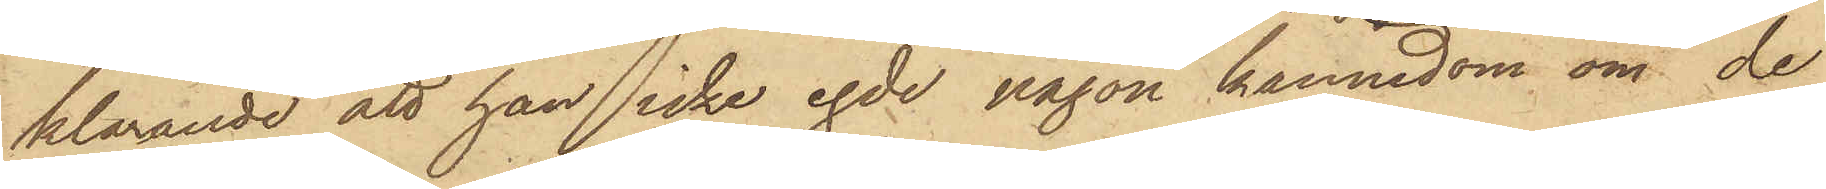klarande att han icke egde någon kännedom om de
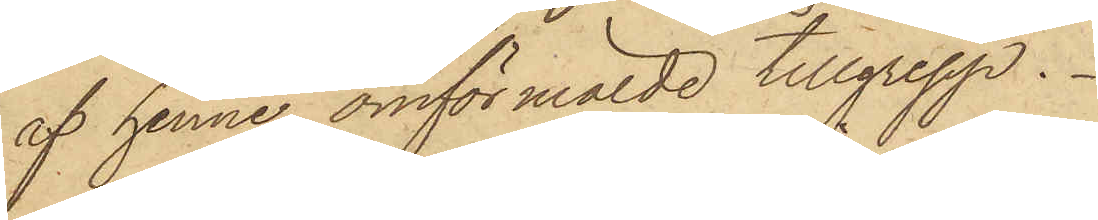af henne omförmälde tillgrepp.
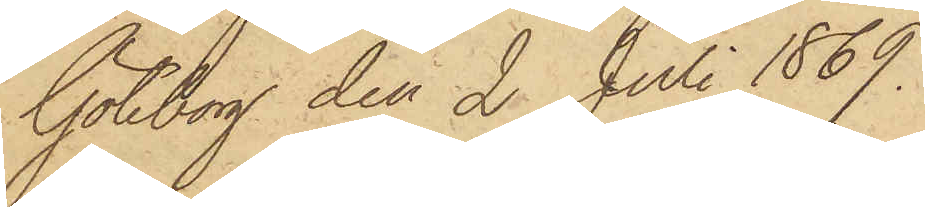Göteborg den 2 Juli 1869.
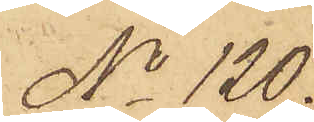No 120.
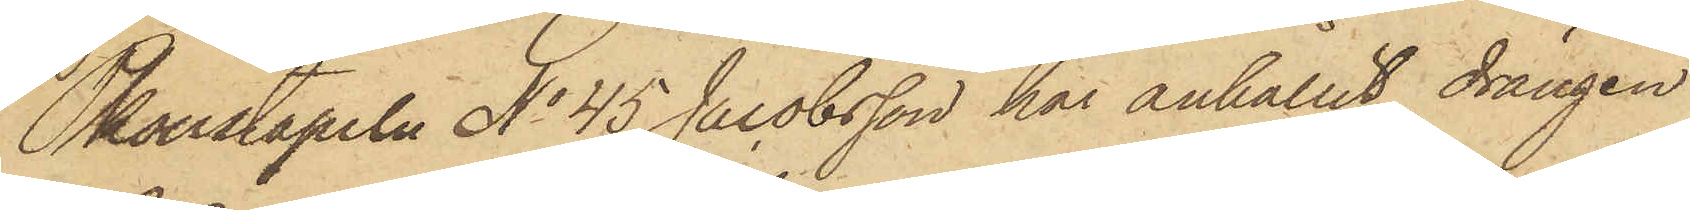Pkonstapeln No 45 Jacobsson har anhållit drängen
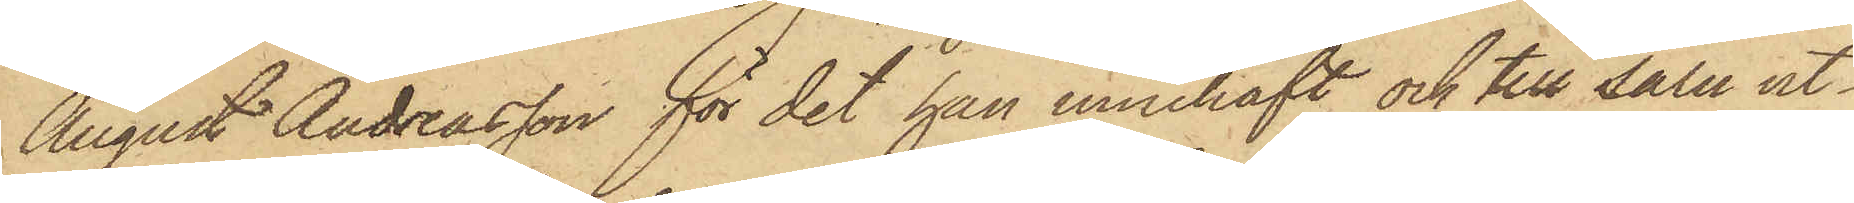August Andreasson för det han innehaft och till salu ut¬
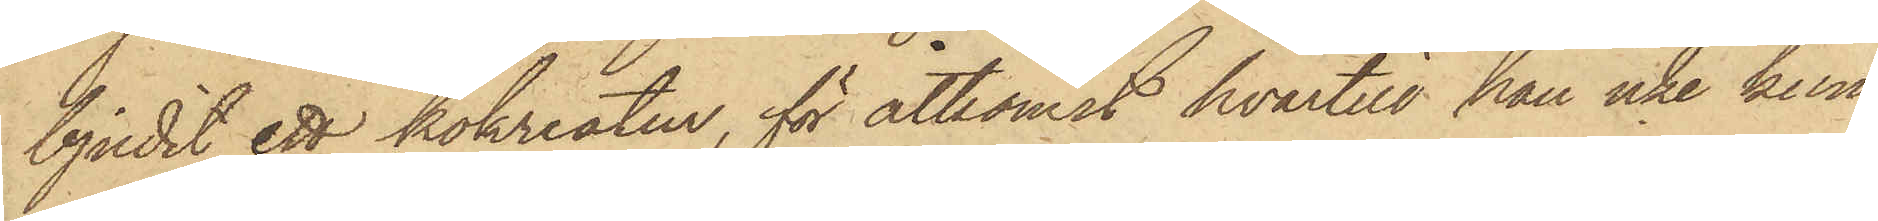bjudit ett kokreatur, för åtkomst hvartill han icke kun¬
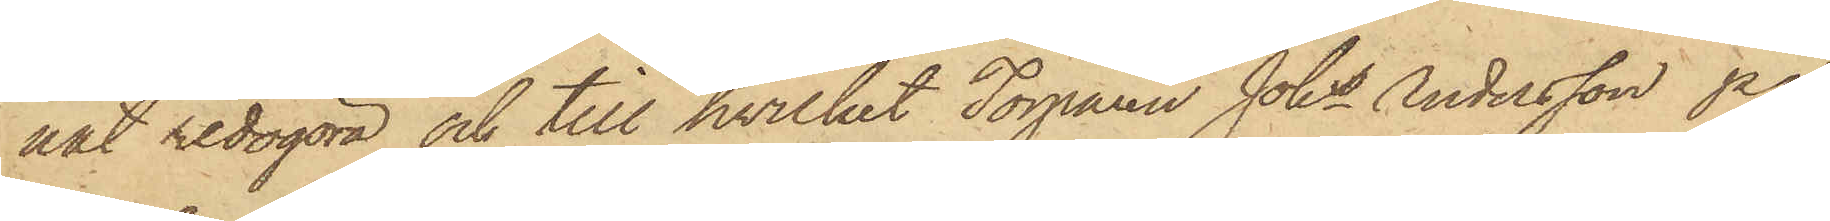nat redogöra och till hvilket Torparen Johs Andersson på
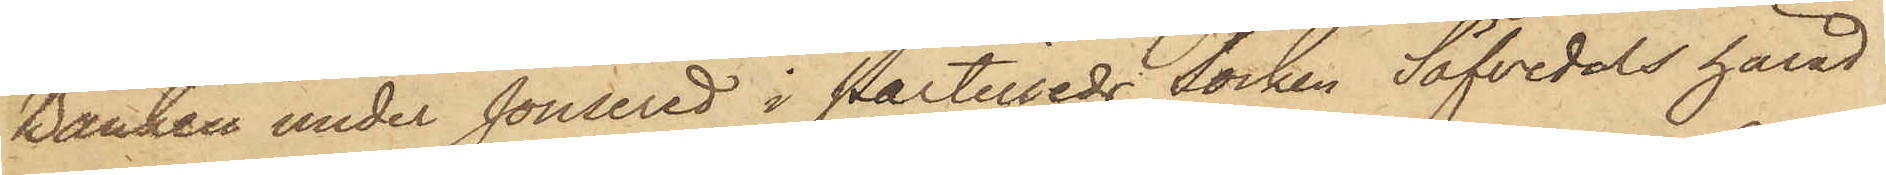Banken under Jonsered i Partilleds Socken Säfvedals härad
